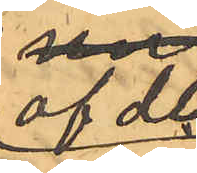af de
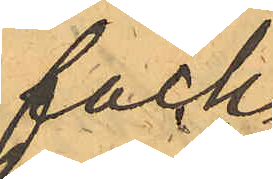fack
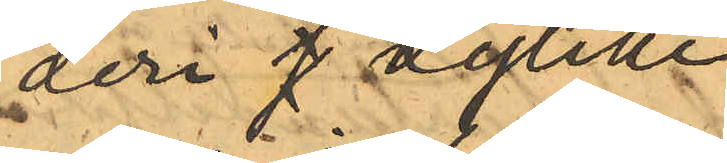deri h dylike
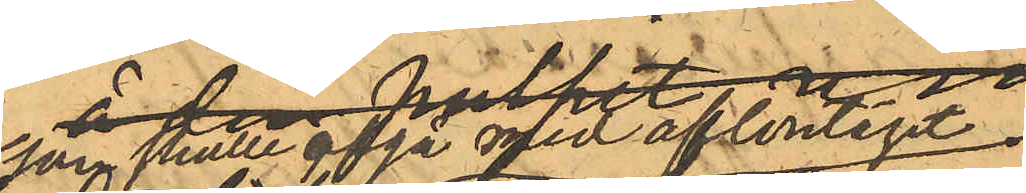som skulle afgå med aftontåget
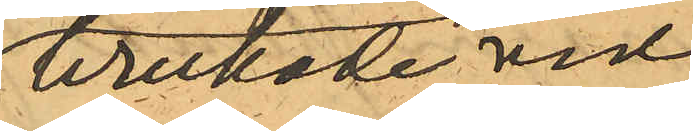brukade vid
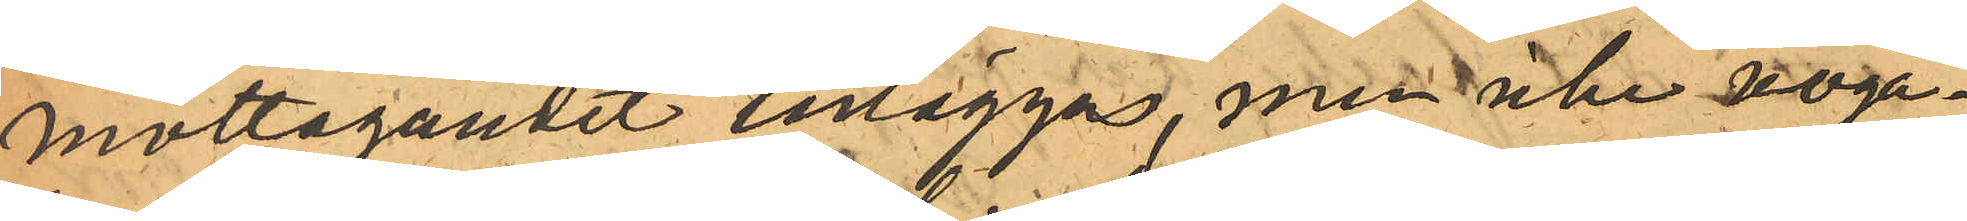mottagandet inläggas, men icke noga¬
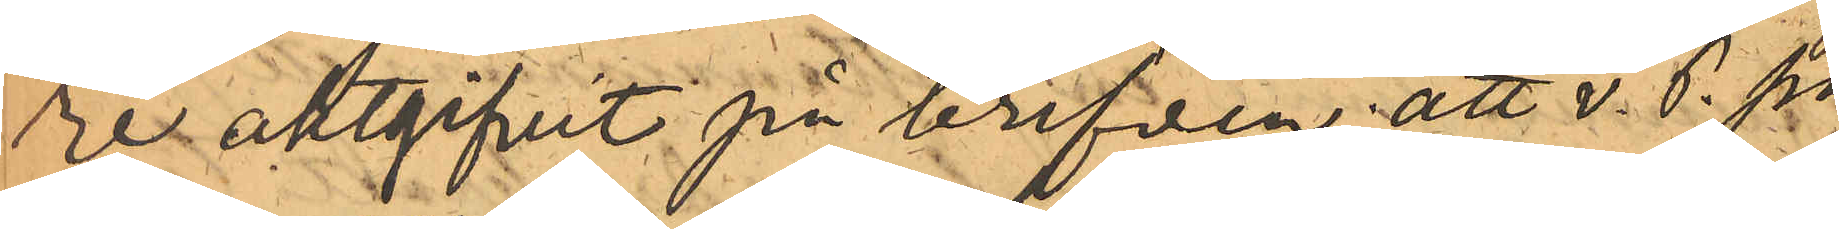re aktgifvit på brefven; att v. P. på
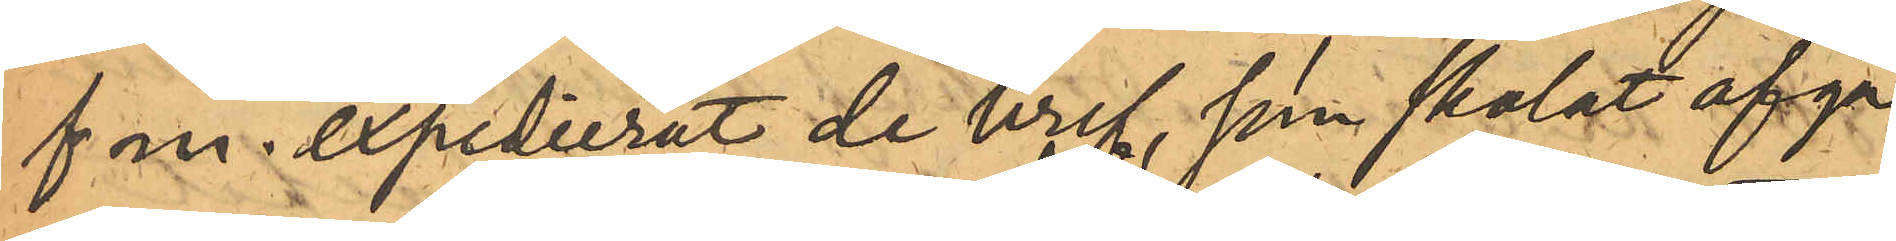f m. expedierat de bref, som skolat afgå
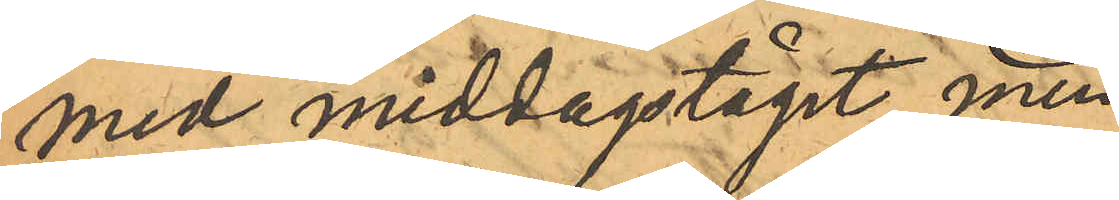med middagståget, men
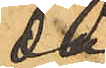då
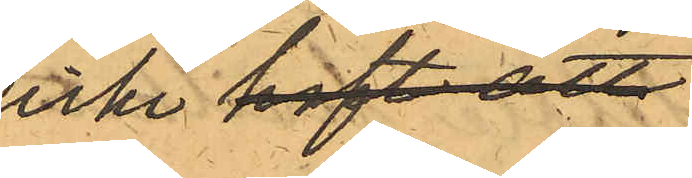icke haft att
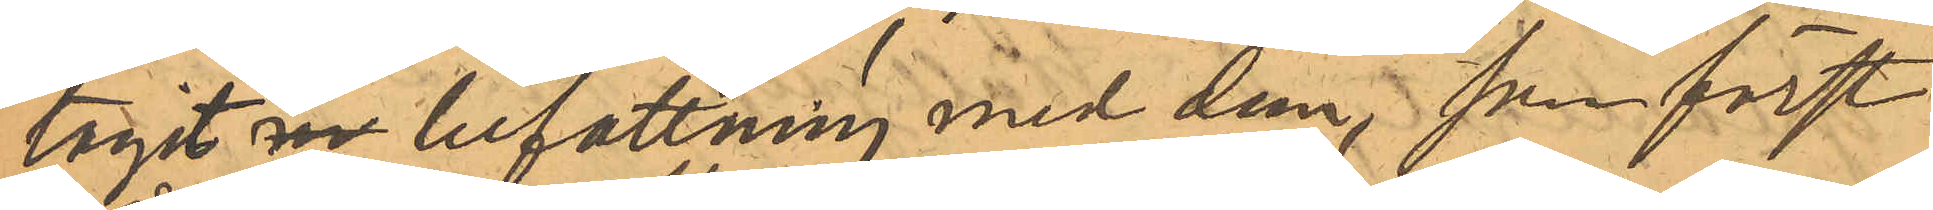tagit m befattning med dem, som först
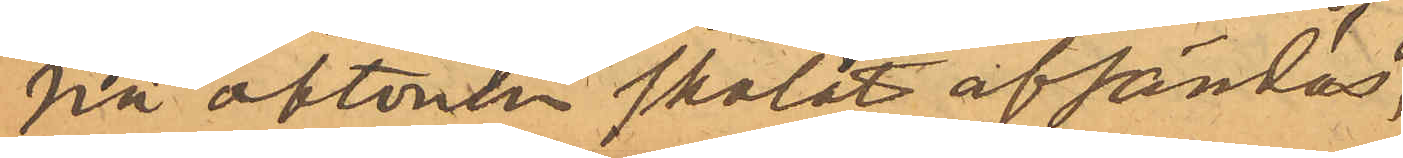på aftonen skolat afsändas,
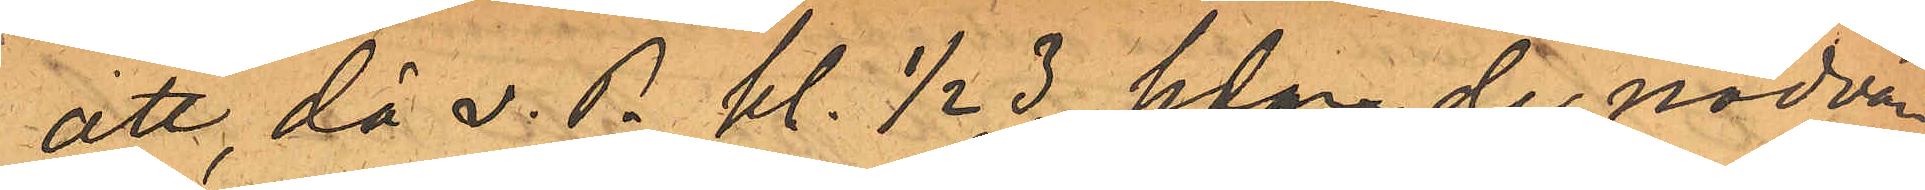att, då v. P. kl. 1/2 3, sedan de nödvän¬
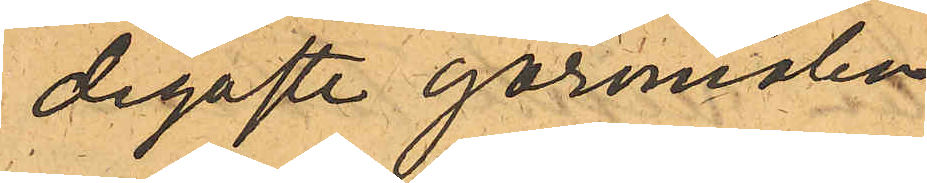digaste göromålen
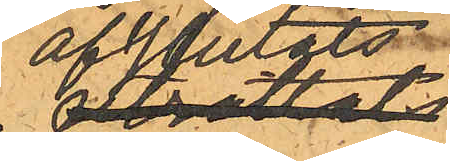afslutats
